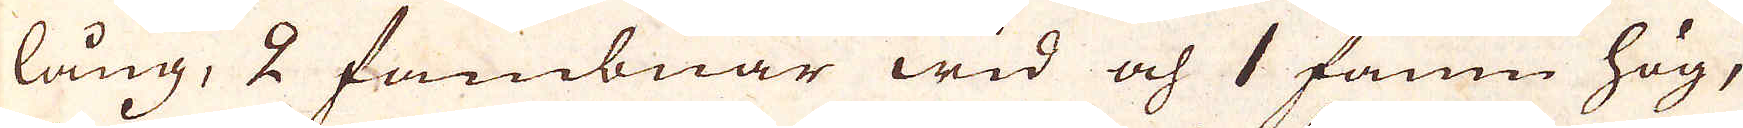lång, 2 fambnar wid och 1 famn hög,
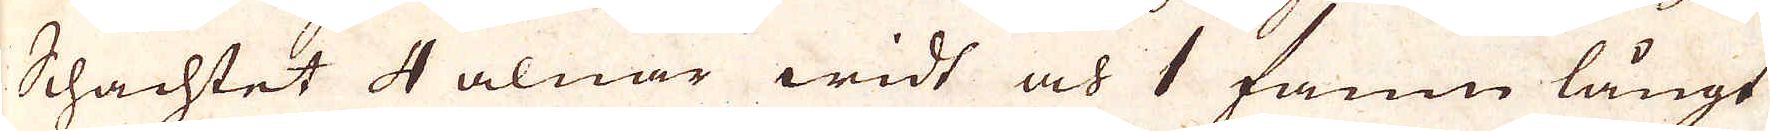Schachtet 4 alnar widt och 1 famn långt
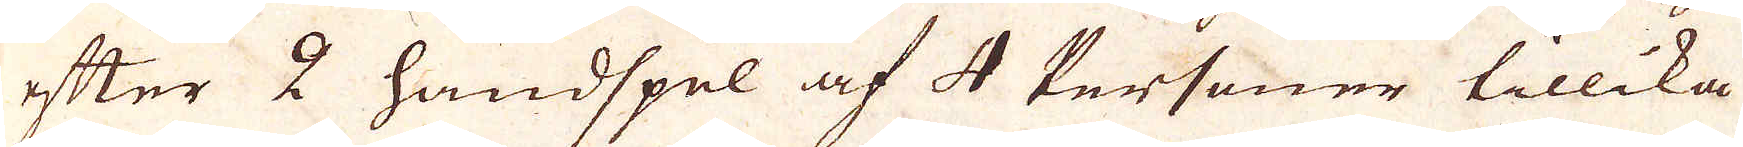efter 2 handspel af 4 Personer tillika
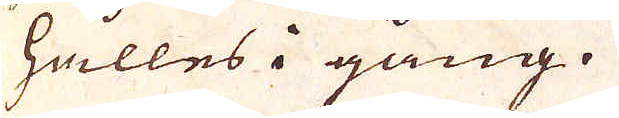hålles i gång.
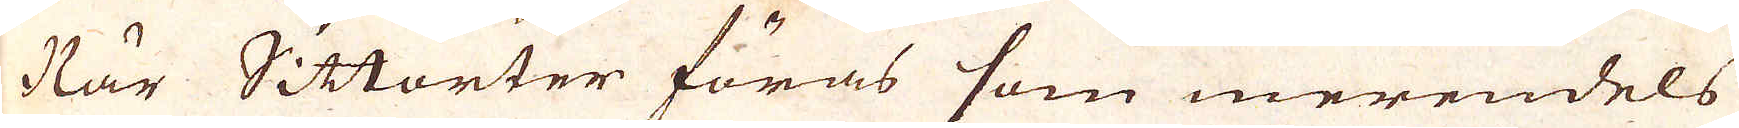När Sittorter föras som merendels
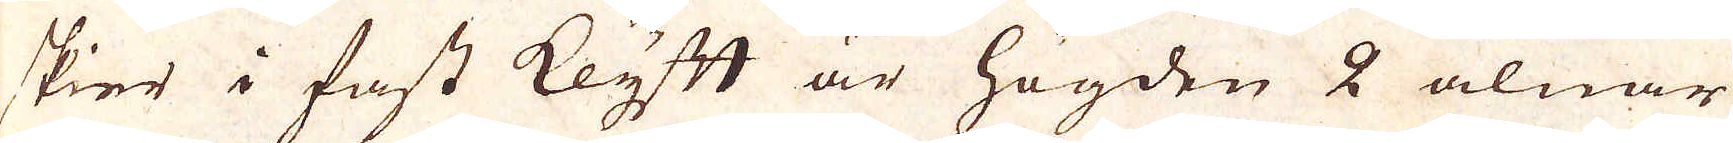skier i fast klyft är högden 2 alnar
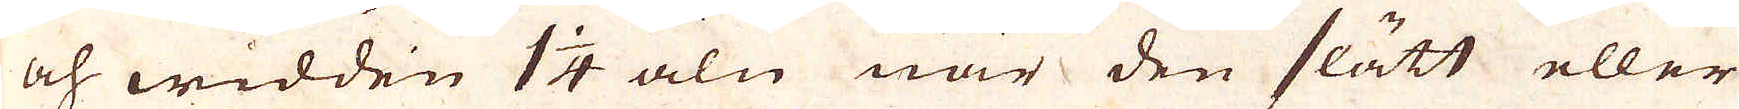och widden 1 1/4 aln när den slätt eller
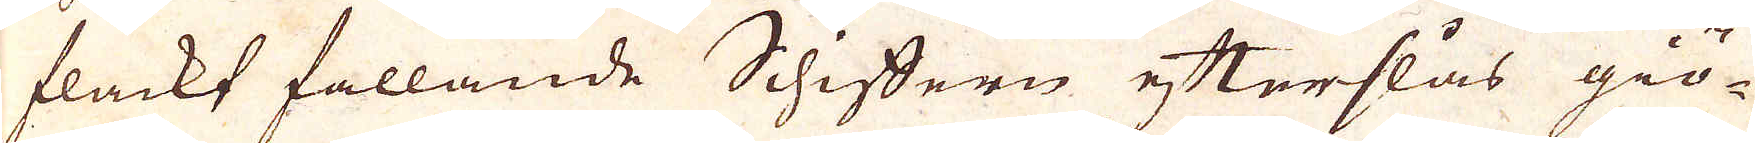flackt fallande Schiffern efterslås giö-
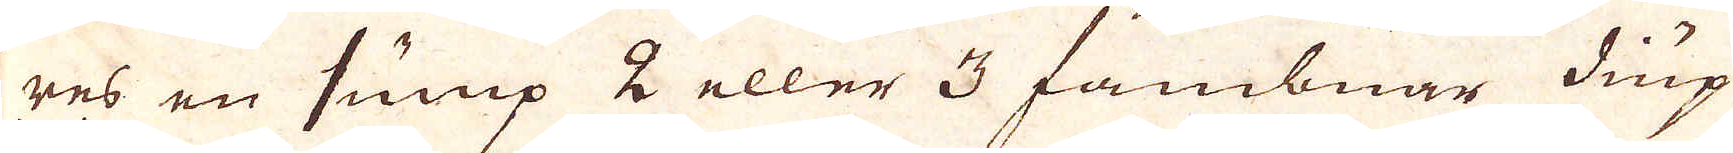res en sump 2 eller 3 fambnar diup
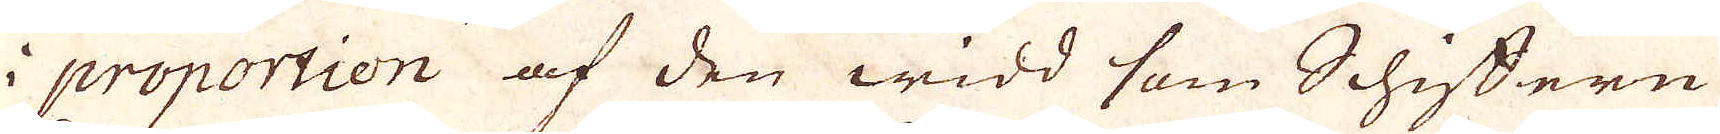i proportion af den widd som Schiffern
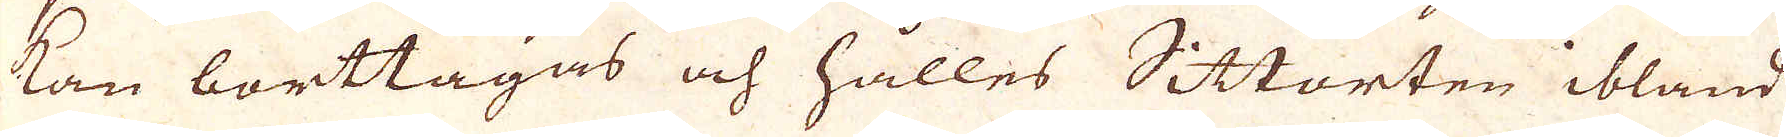kan borttagas och hålles Sittorten ibland
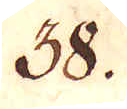38.
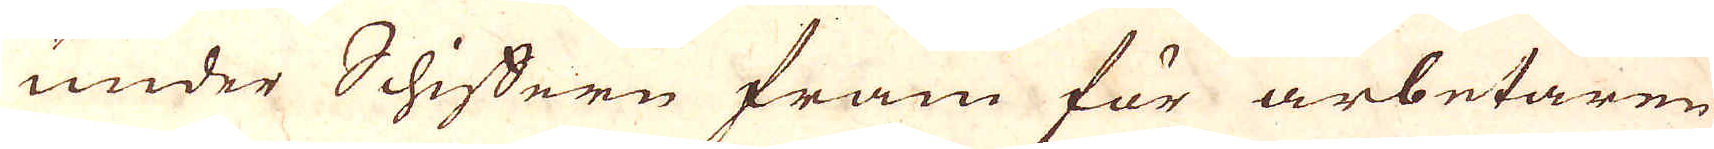under Schiffern fram för arbetaren
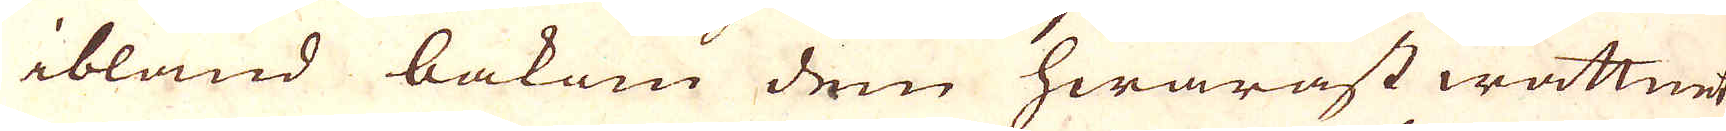ibland bakom dem hwarast wattnet
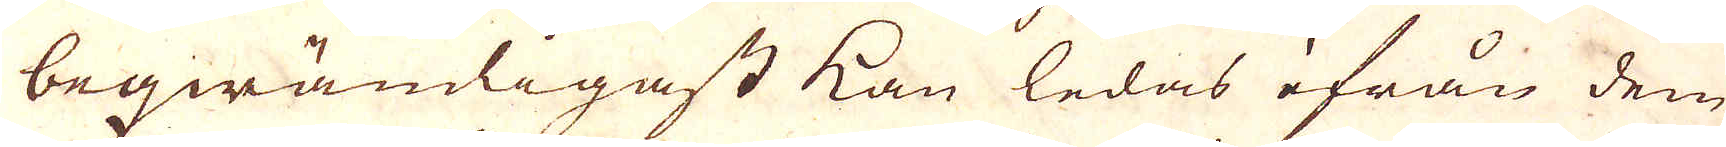beqwämligast kan ledas ifrån dem
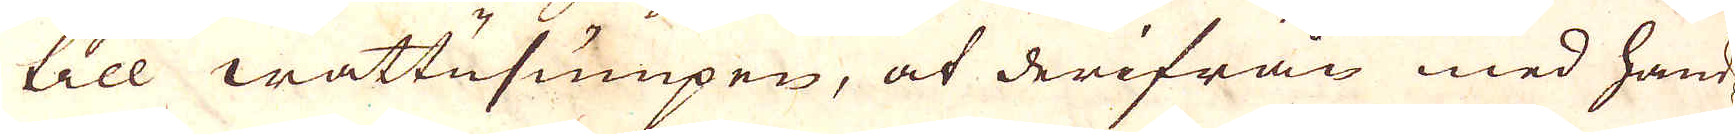till wattusumpen, at derifrån med hand
